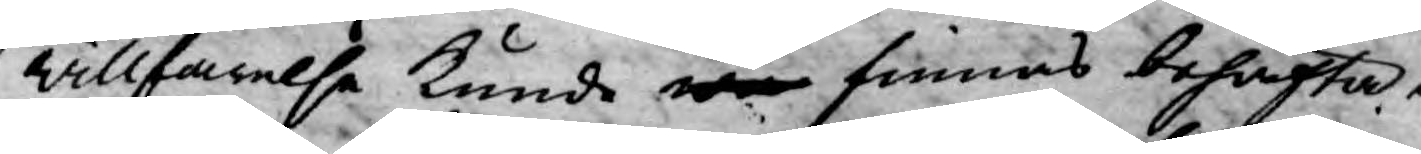willfarelse kunde war finnas behäfta¬
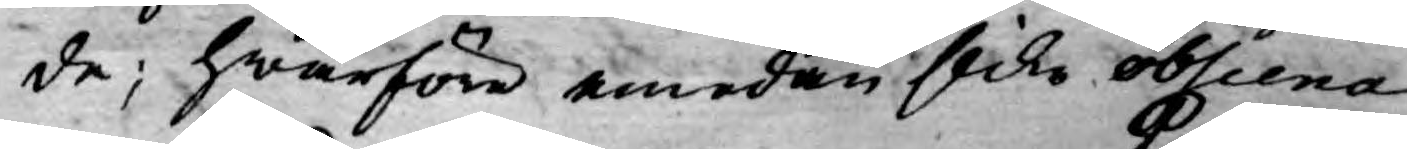de; hwarföre emedan slika obscena
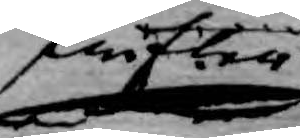skrifter
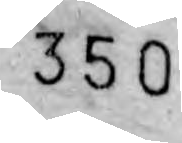350
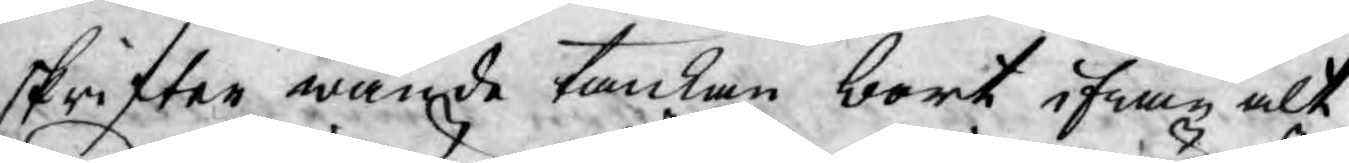skrifter wände tanken bort ifrån alt
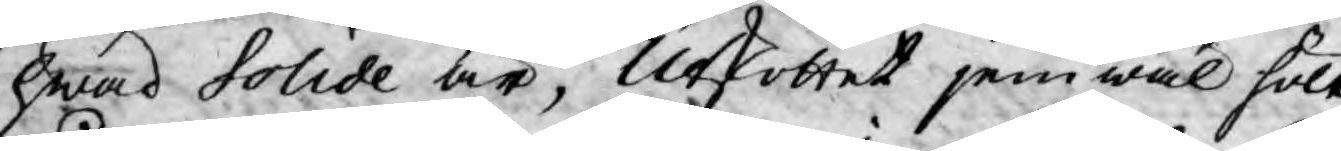hwad Solide är, Utskottet jemwäl hölt
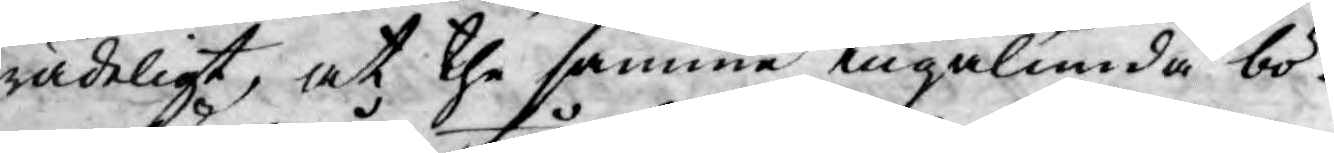rådeligt, at the samma ingalunda bö¬
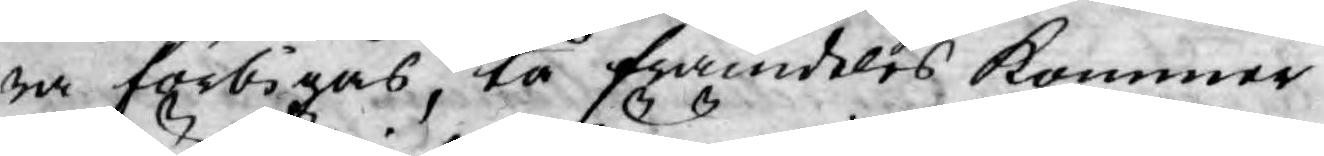ra förbigås, tå framdeles kommer
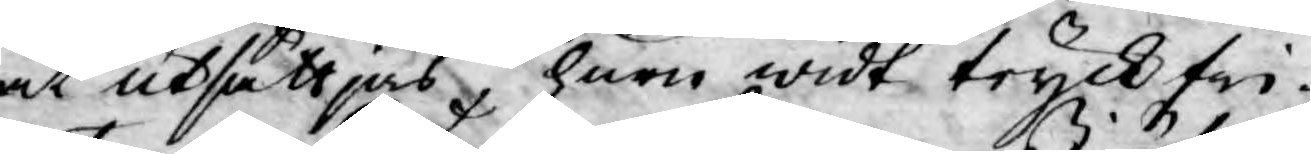at utsättjas, huru widt tryckfri¬
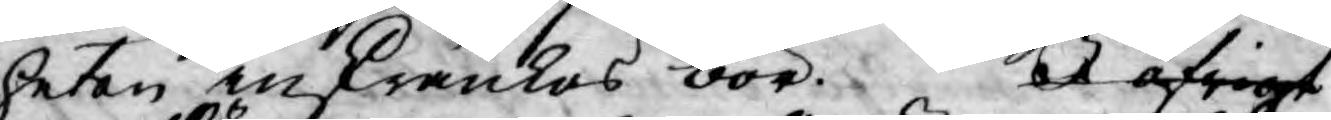heten inskränkas bör. I öfrigt
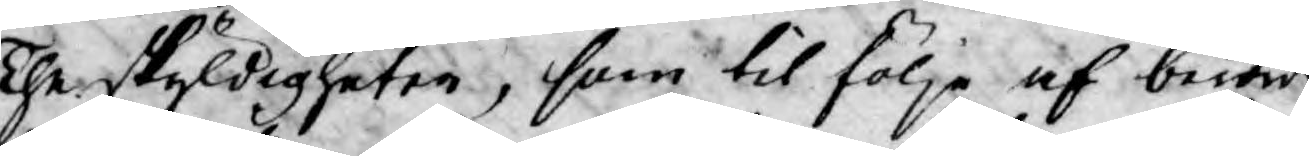The skyldigheter, som til följe af berörde
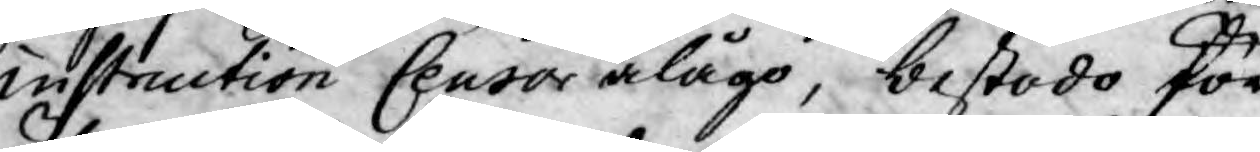instruction Censor ålågo, bestodo för
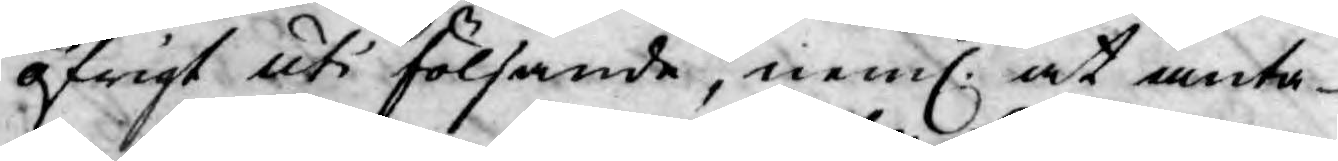öfrigt uti följande, neml. at anta¬
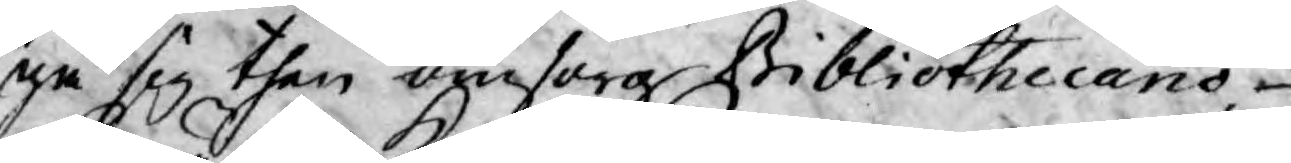ga sig then omsorg Bibliothecario
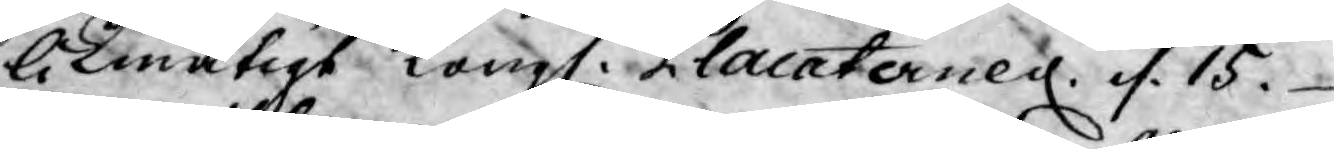likmätigt Kongl. Placaternes. d. 15.
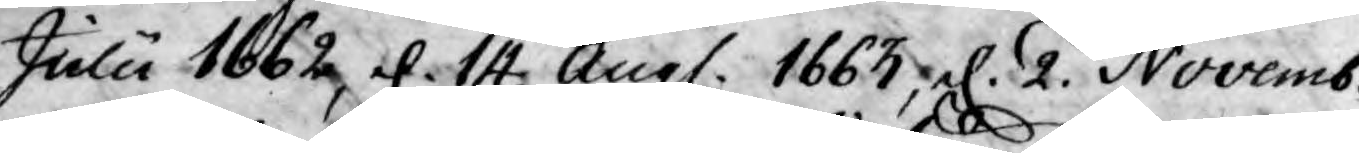Julii 1662, el. 14 Aug. 1663, el. 2. Novemb.
